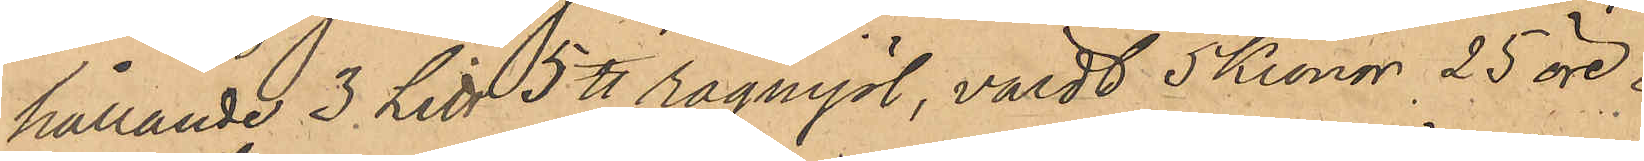hållande 3 L℔ 5 ℔ rågmjöl, värdt 5 kronor 25 öre.
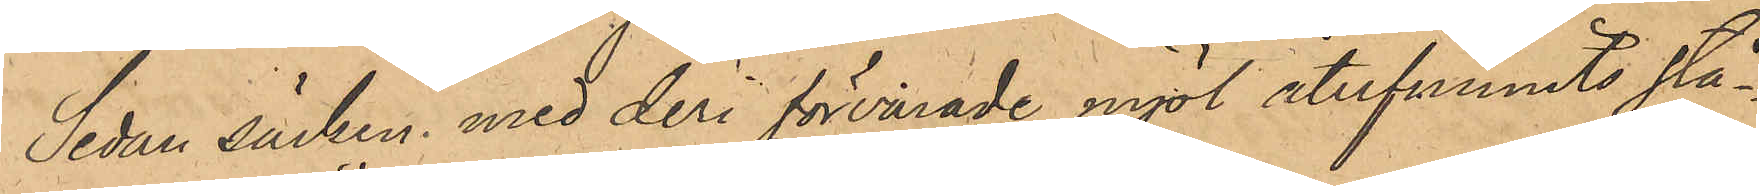Sedan säcken med deri förvarade mjöl återfunnits stå¬
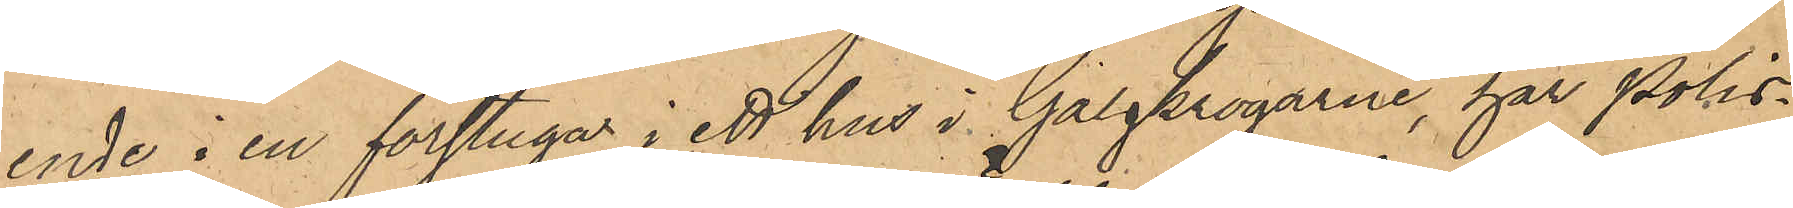ende i en förstuga i ett hus i Galgkrogarne, har Polis¬
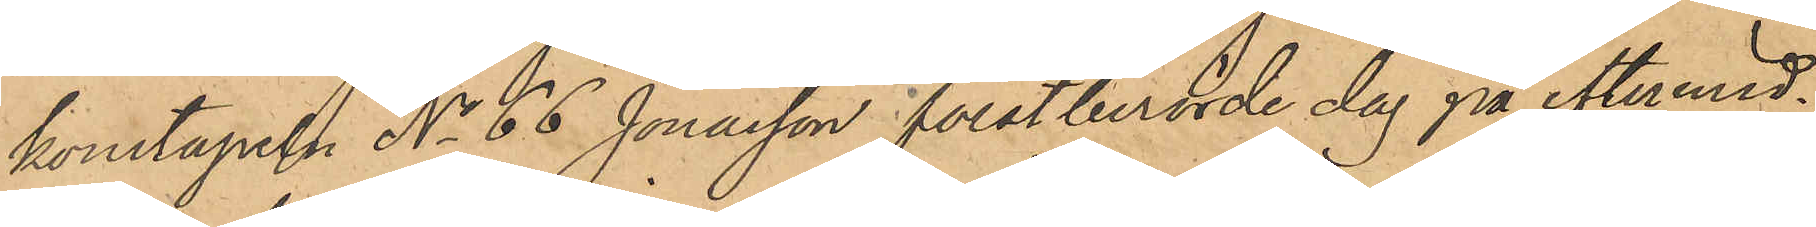konstapeln No 66 Jonasson förstberörde dag på eftermid¬
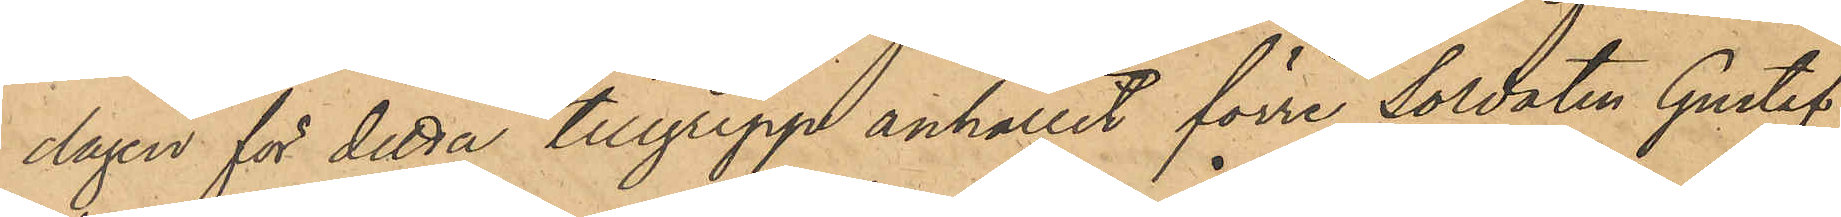dagen för detta tillgrepp anhållit förre Soldaten Gustaf
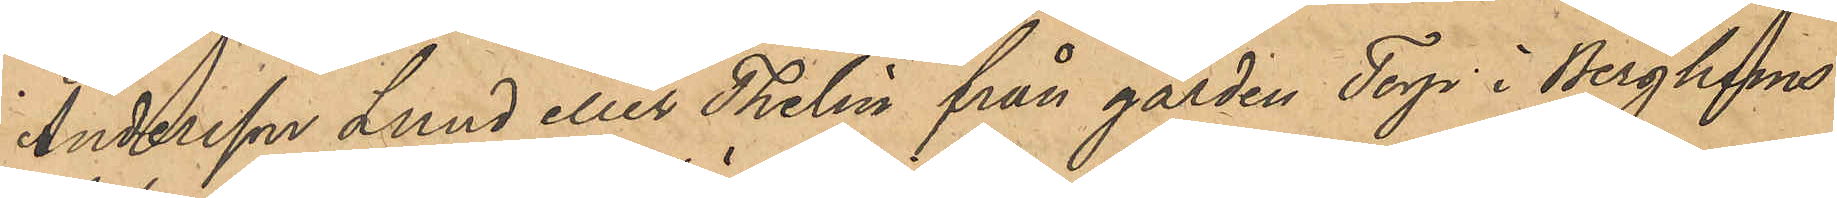Andersson Lund eller Thelin från gården Torp i Berghems
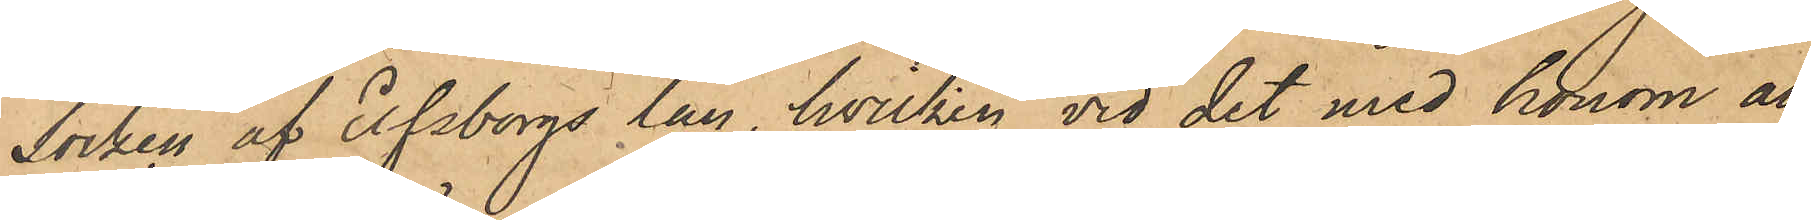Socken af Elfsborgs län, hvilken vid det med honom an¬
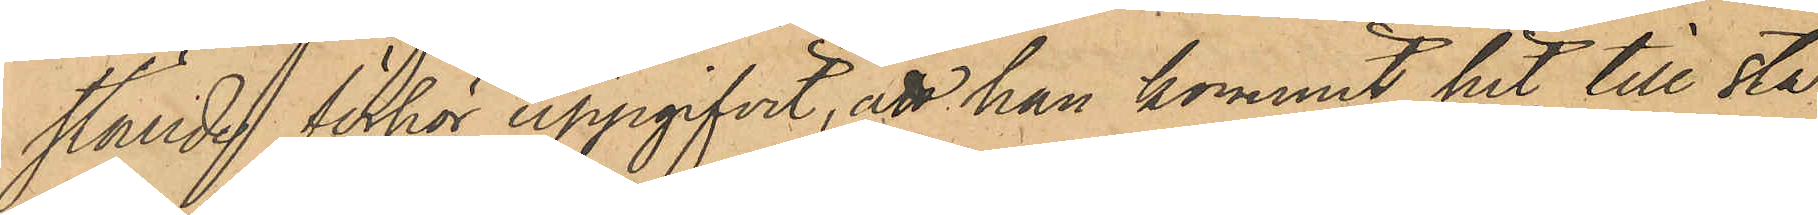ställde förhör uppgifvit, att han kommit hit till sta¬
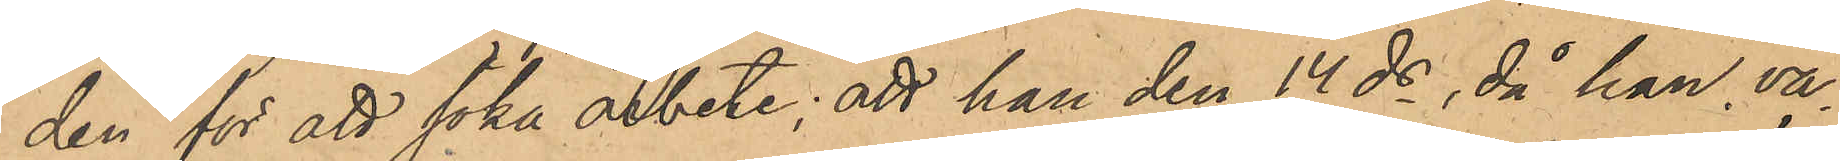den för att söka arbete; att han den 14 ds, då han va¬
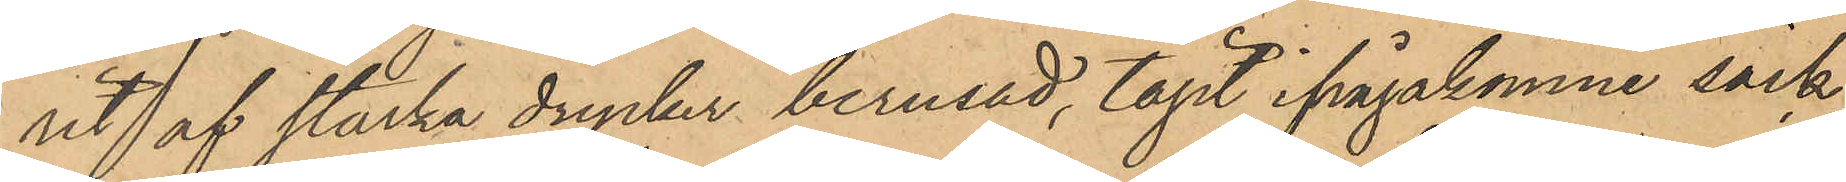rit af starka drycker berusad, tagit ifrågakomne säck,
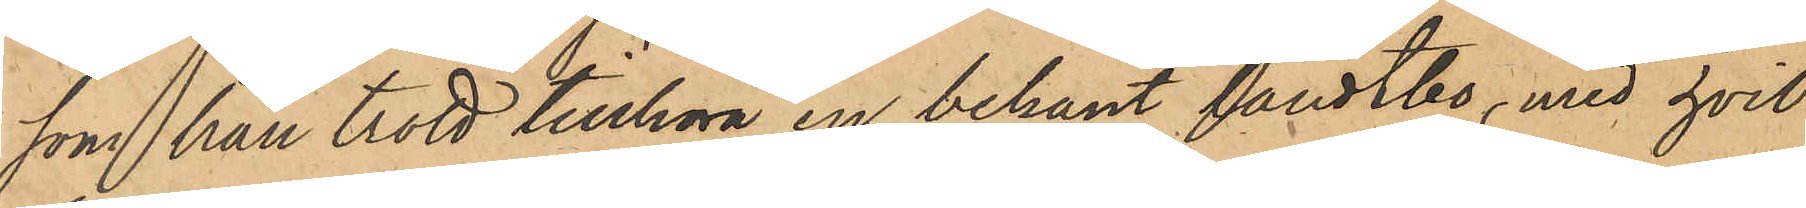som han trott tillhöra en bekant landtbo, med hvil¬
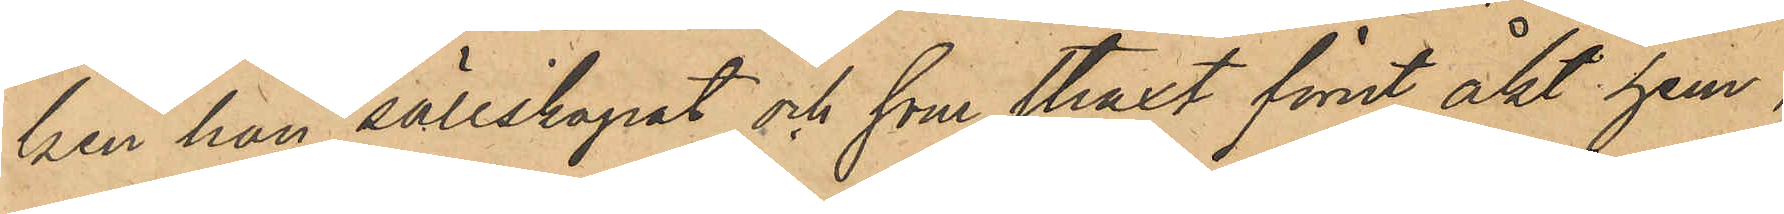ken han sällskapat och som straxt förut åkt hem,
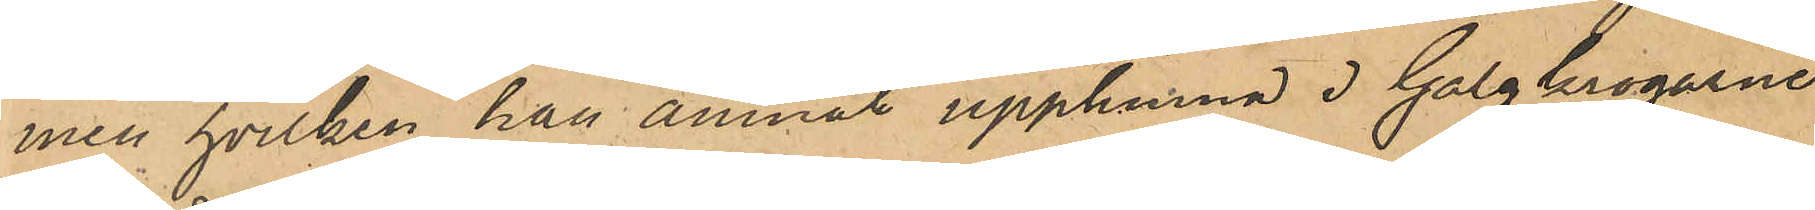men hvilken han ämnat upphinna i Galgkrogarne
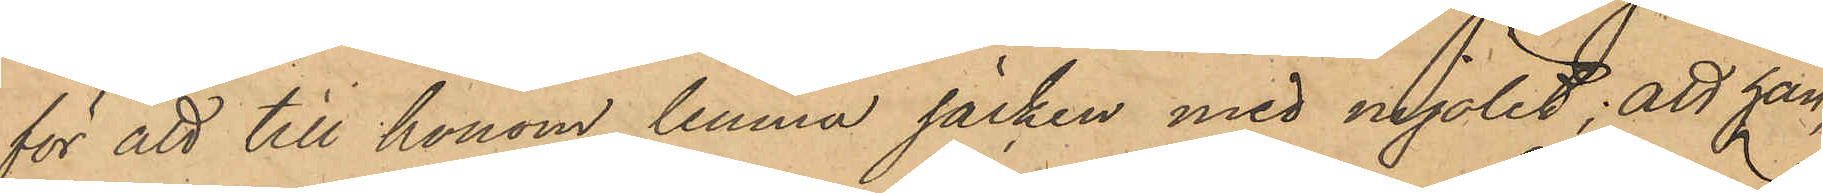för att till honom lemna säcken med mjölet; att han,
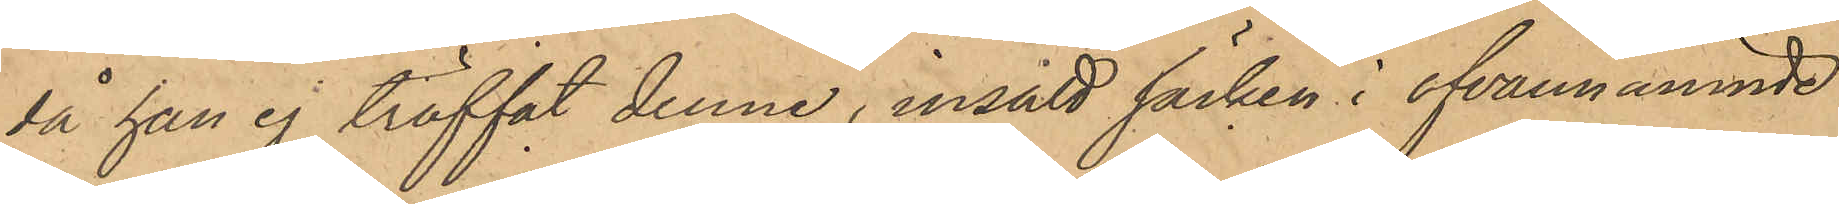då han ej träffat denne, insatt säcken i ofvannämnde
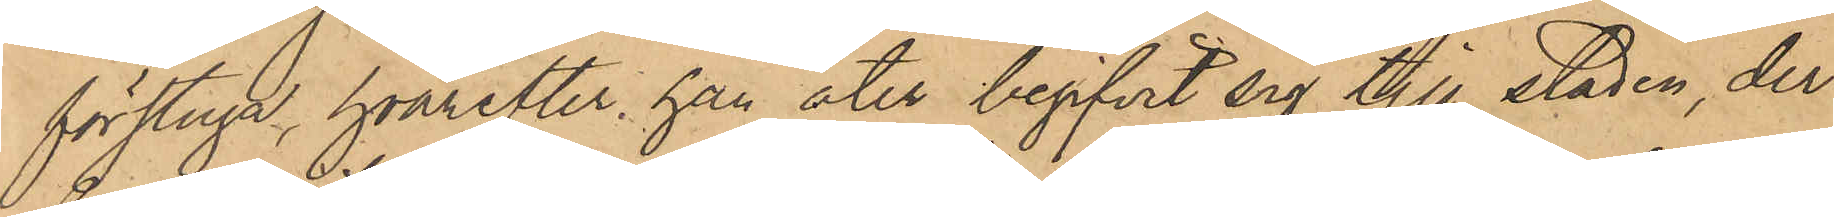förstuga, hvarefter han åter begifvit sig till staden, der
